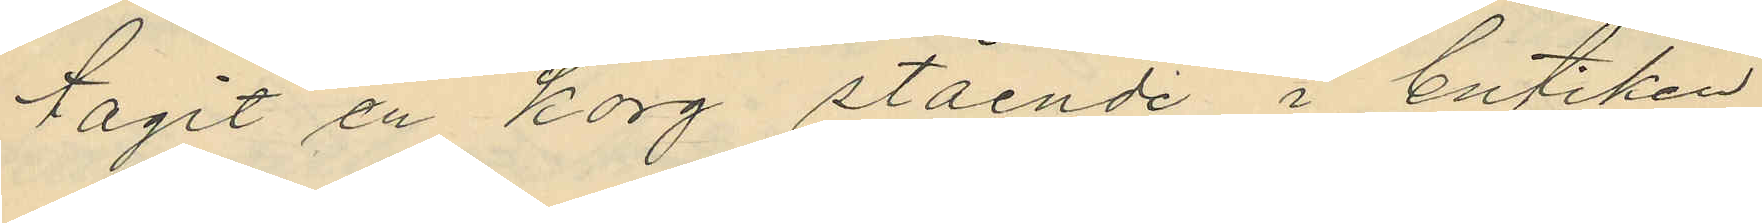tagit en korg stående i butiken
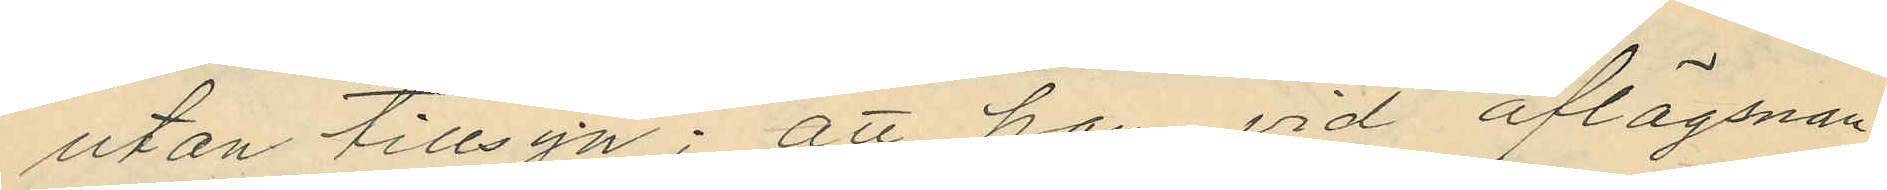utan tillsyn; att han vid aflägsnan¬
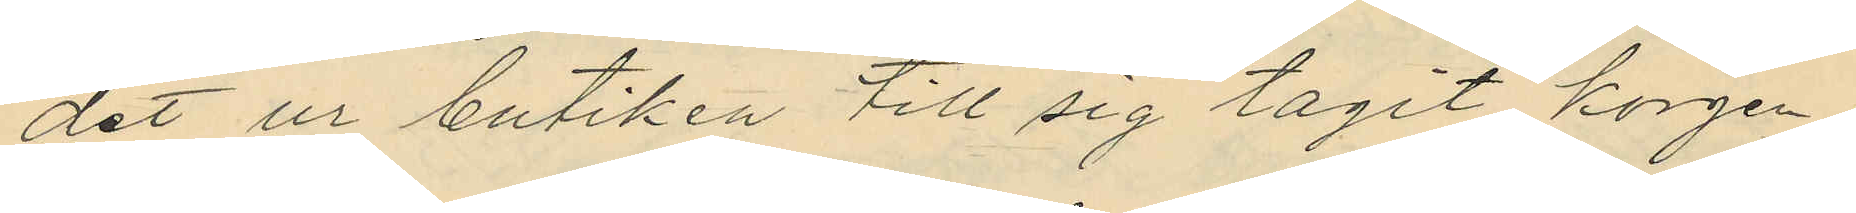det ur butiken till sig tagit korgen,
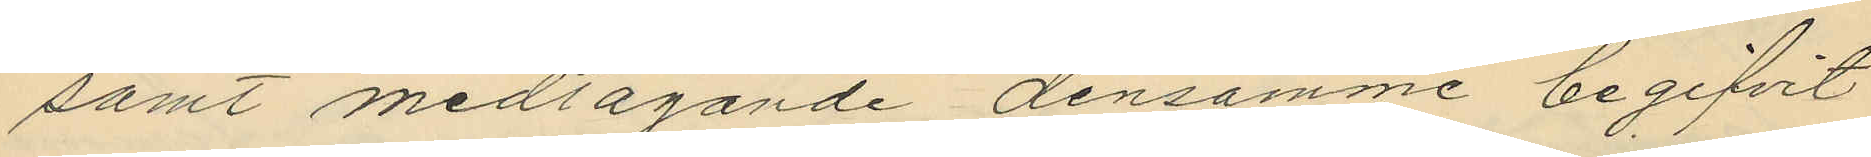samt medtagande densamme begifvit
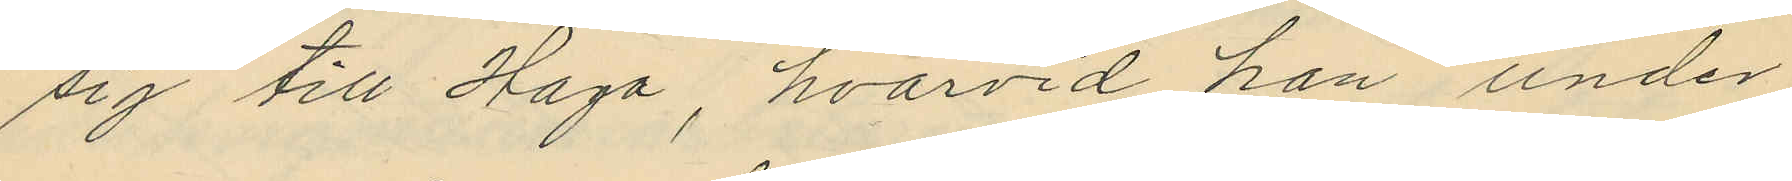sig till Haga, hvarvid han under
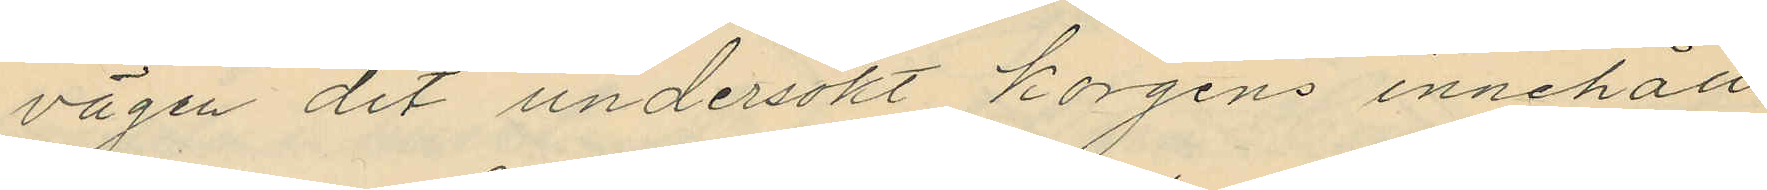vägen dit undersökt korgens innehåll,
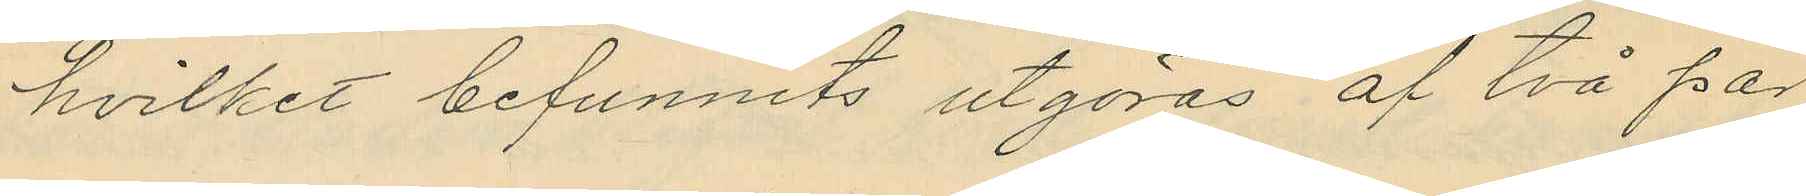hvilket befunnits utgöras af två par
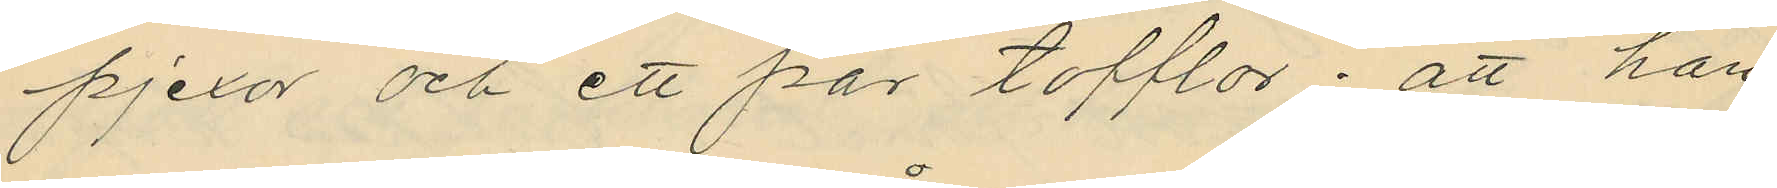pjexor och ett par tofflor; att han
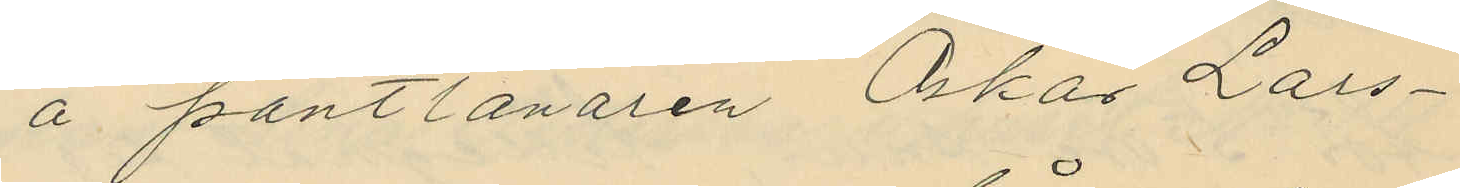å pantlånaren Oskar Lars¬
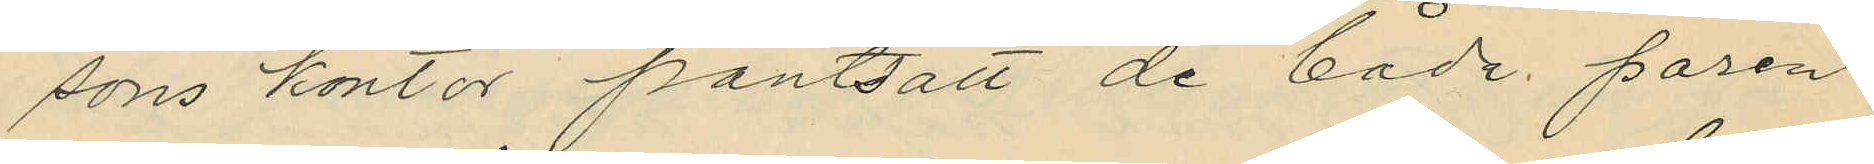sons kontor pantsatt de både paren
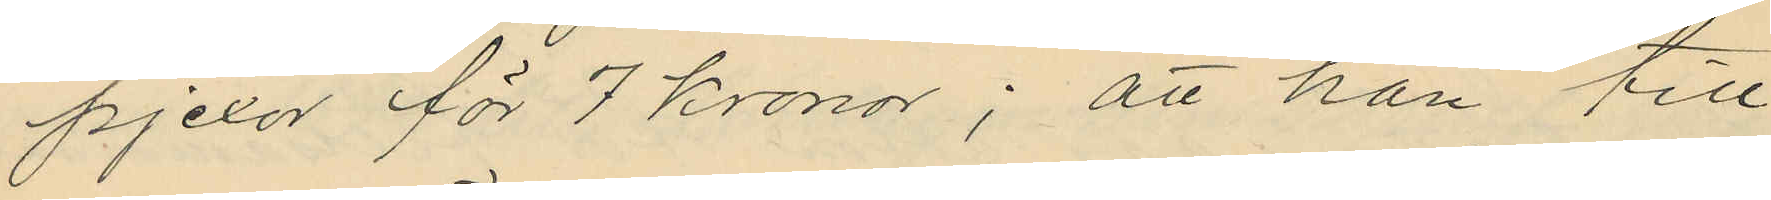pjexor för 7 kronor; att han till
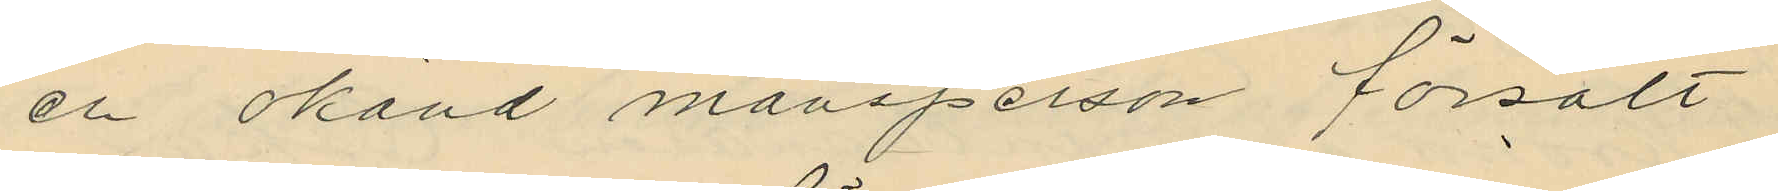en okänd mansperson försålt
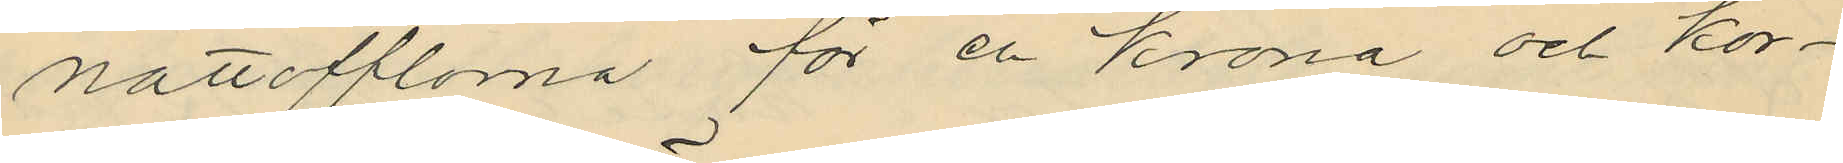nattofflorna för en Krona och kor¬
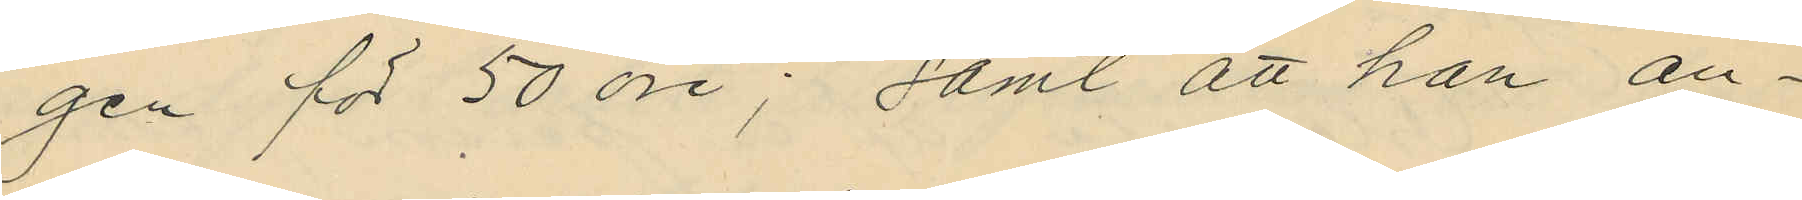gen för 50 öre; samt att han an¬
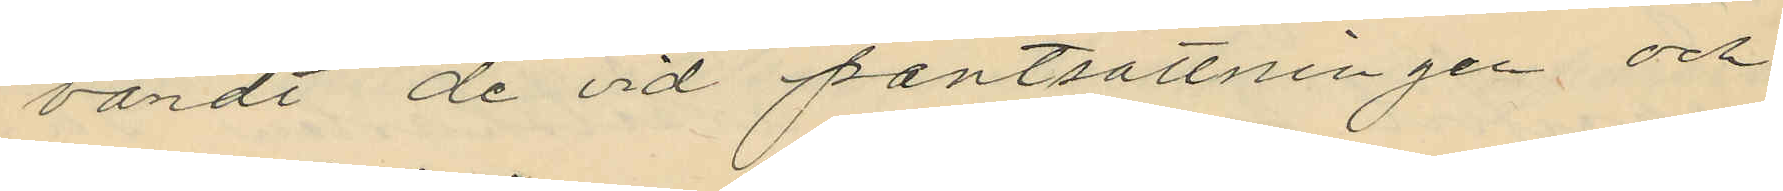vändt de vid pantsättningen och
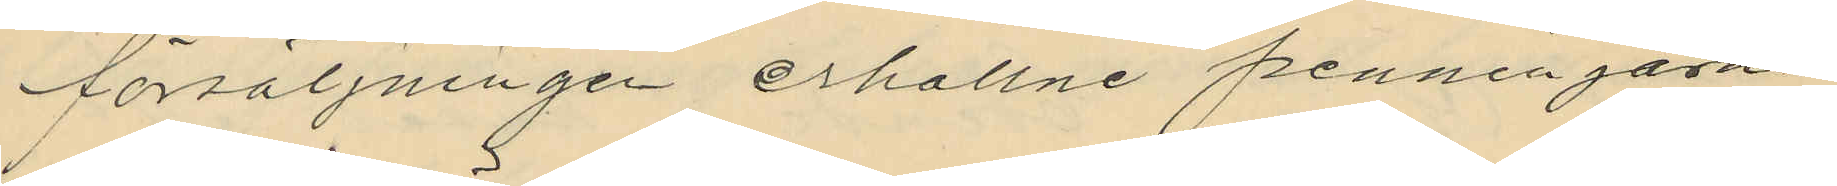försäljningen erhållne penningarne
